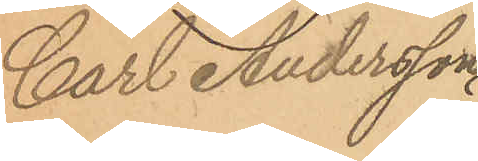Carl Andersson
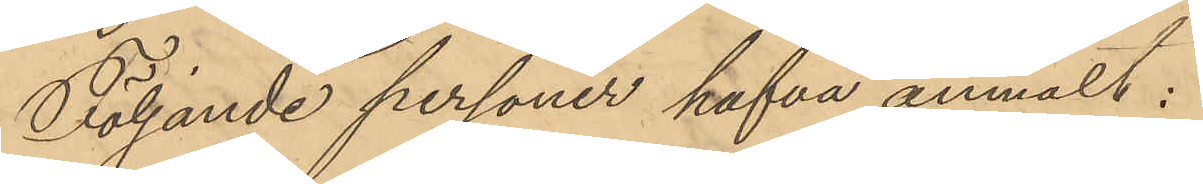Följande personer hafva anmält:
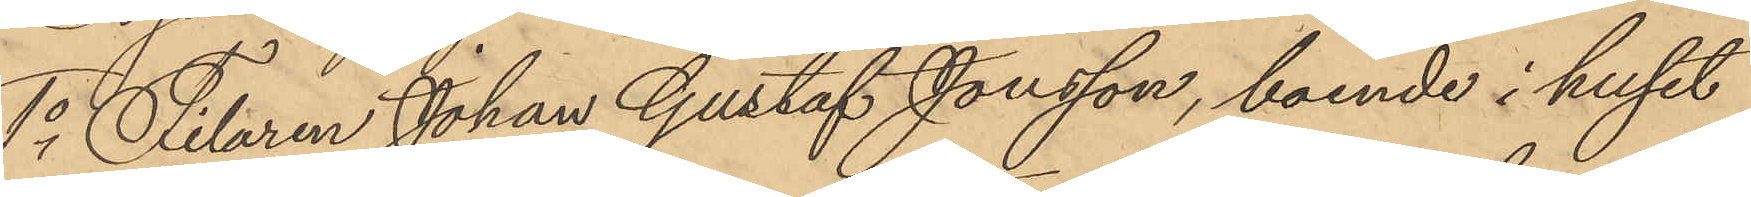1o Filaren Johan Gustaf Jonsson, boende i huset
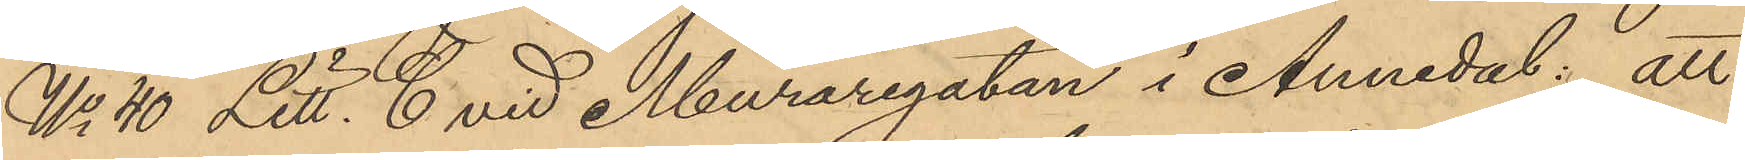No 40 Litt. C vid Muraregatan i Annedal: att
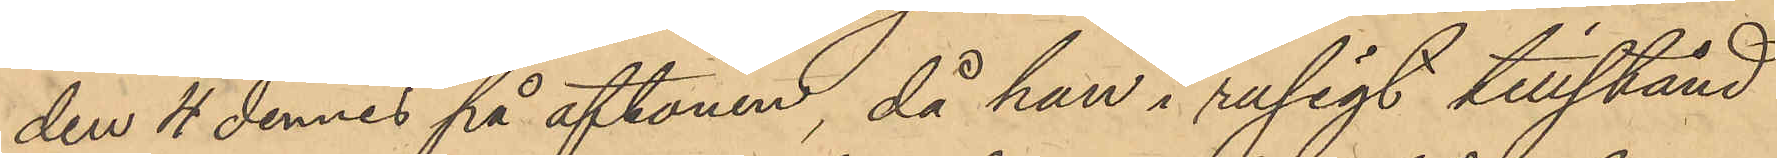den 4 dennes på aftonen, då han i rusigt tillstånd
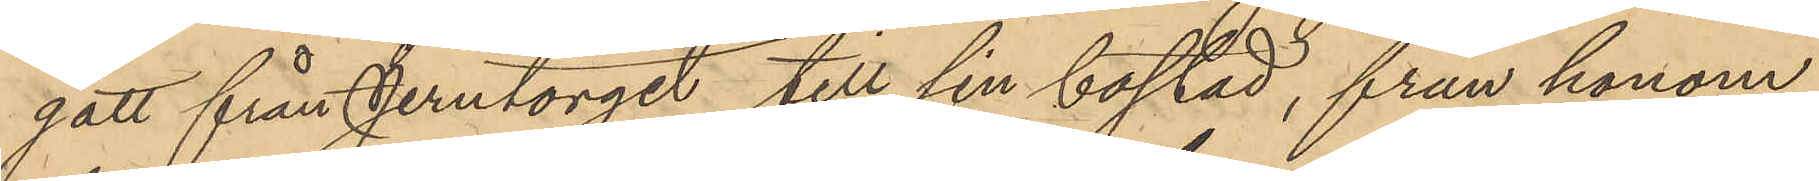gått från Jerntorget till sin bostad, från honom
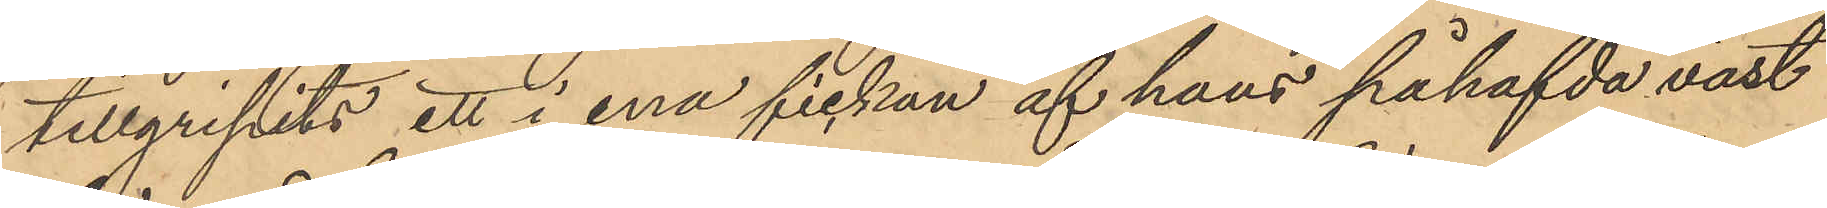tillgripits ett i ena fickan af hans påhafvda väst
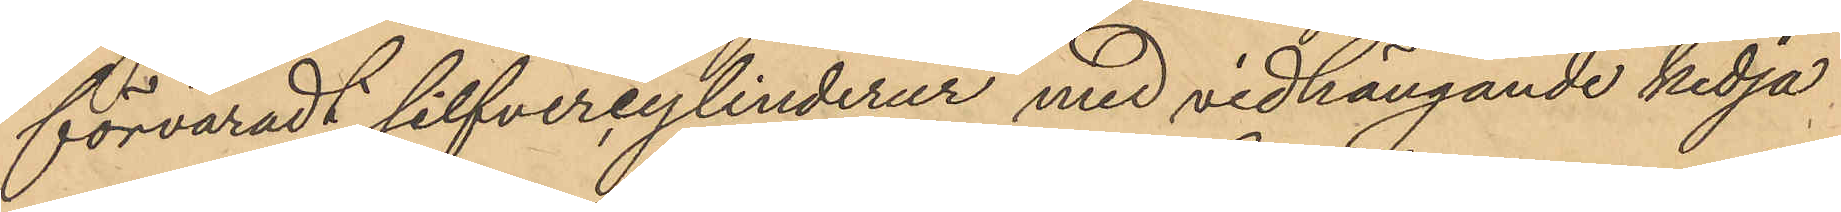förvaradt silfvercylinderur med vidhängande kedja
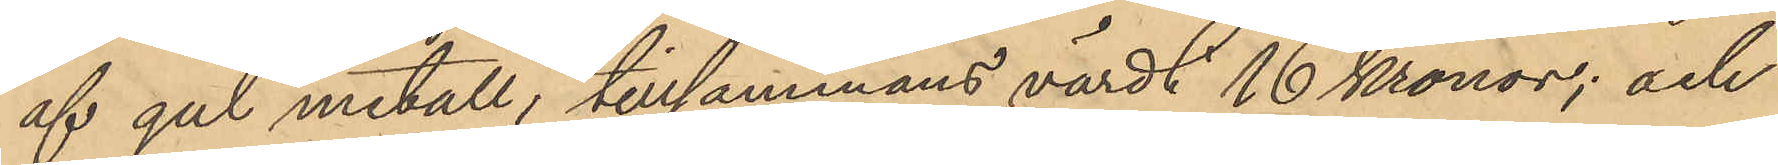af gul metall, tillsammans värdt 16 Kronor; och
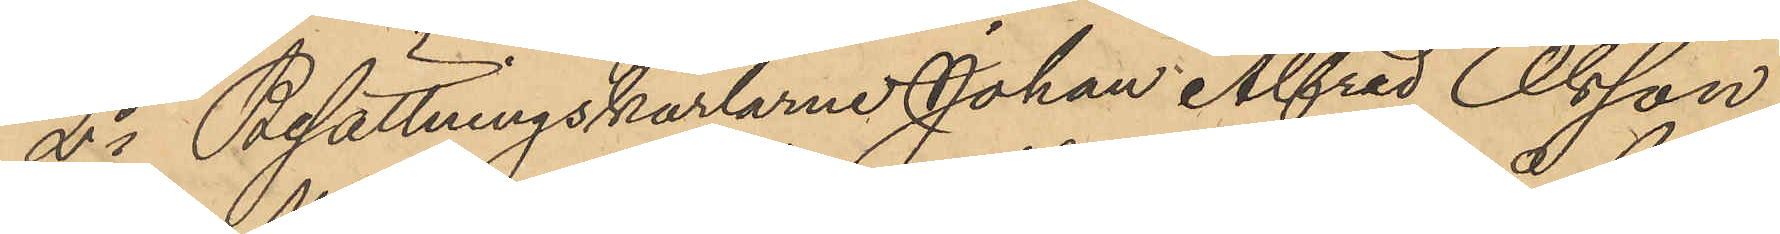2o Besättningskarlarne Johan Alfred Olsson
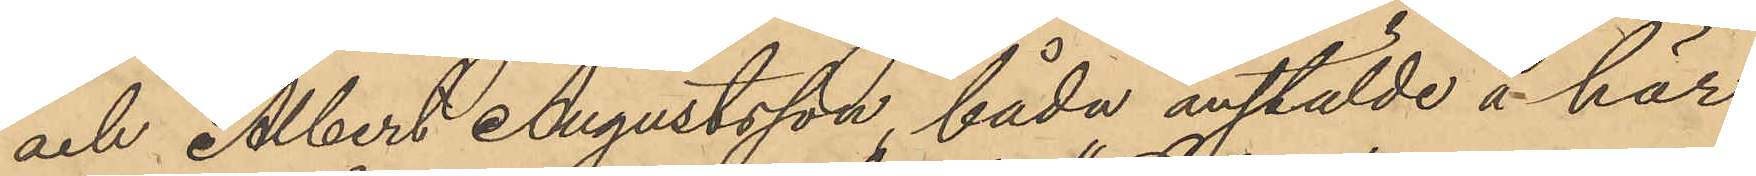och Albert Augustsson båda anstälde å här
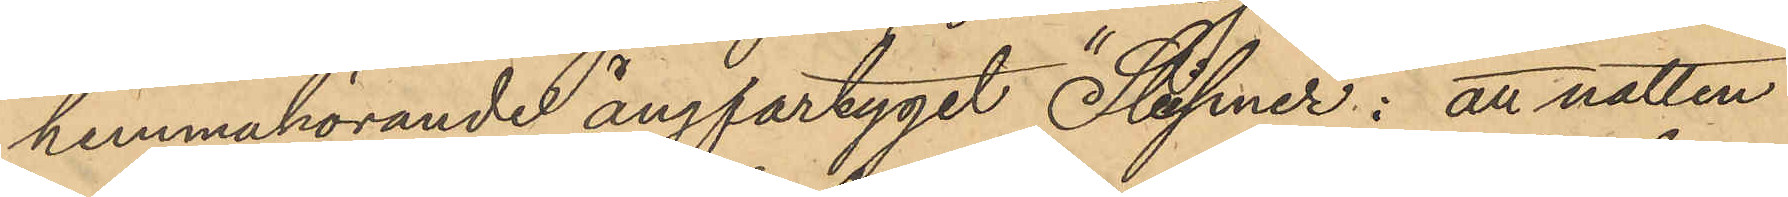hemmahörande ångfartyget "Sleipner": att natten
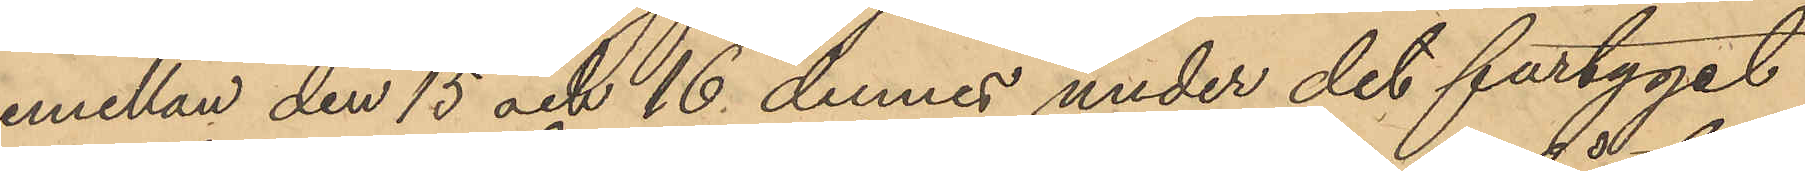emellan den 15 och 16 dennes under det fartyget
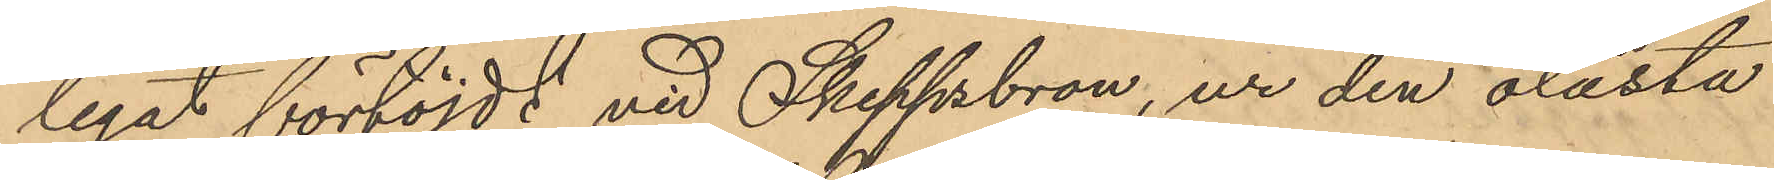legat förtöjdt vid Skeppsbron, ur den olåsta
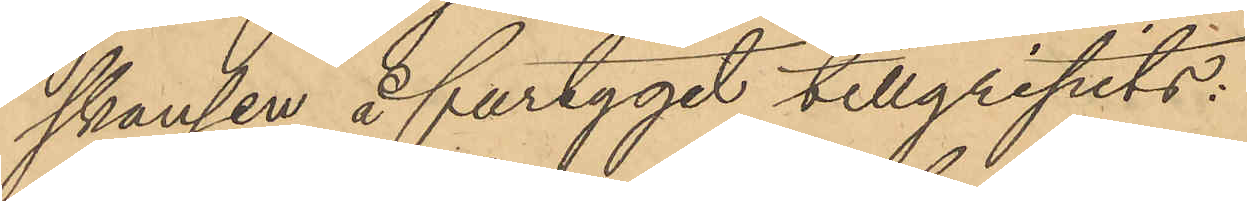skansen å fartyget tillgripits:
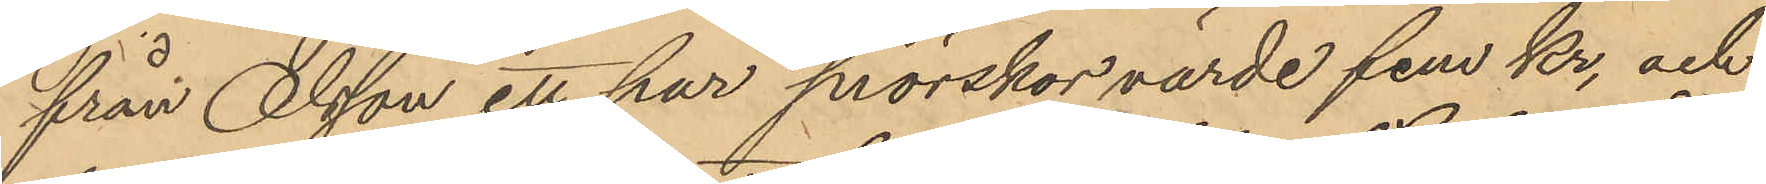från Olsson ett par snörskor värde fem kr, och
